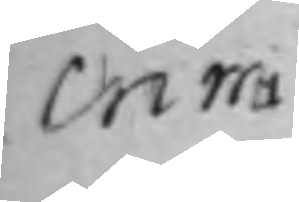crim.
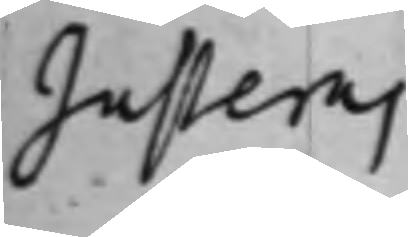Justeras
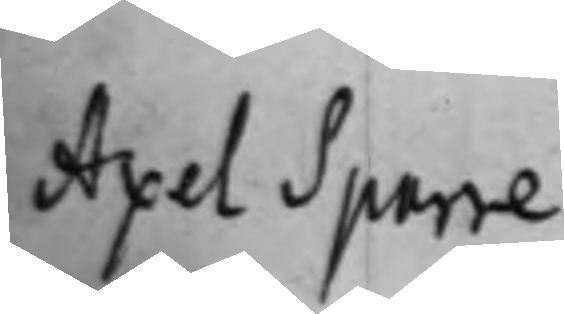Axel Sparre
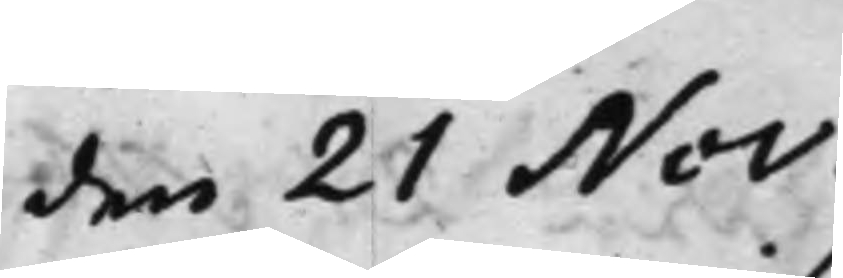den 21 Nov.
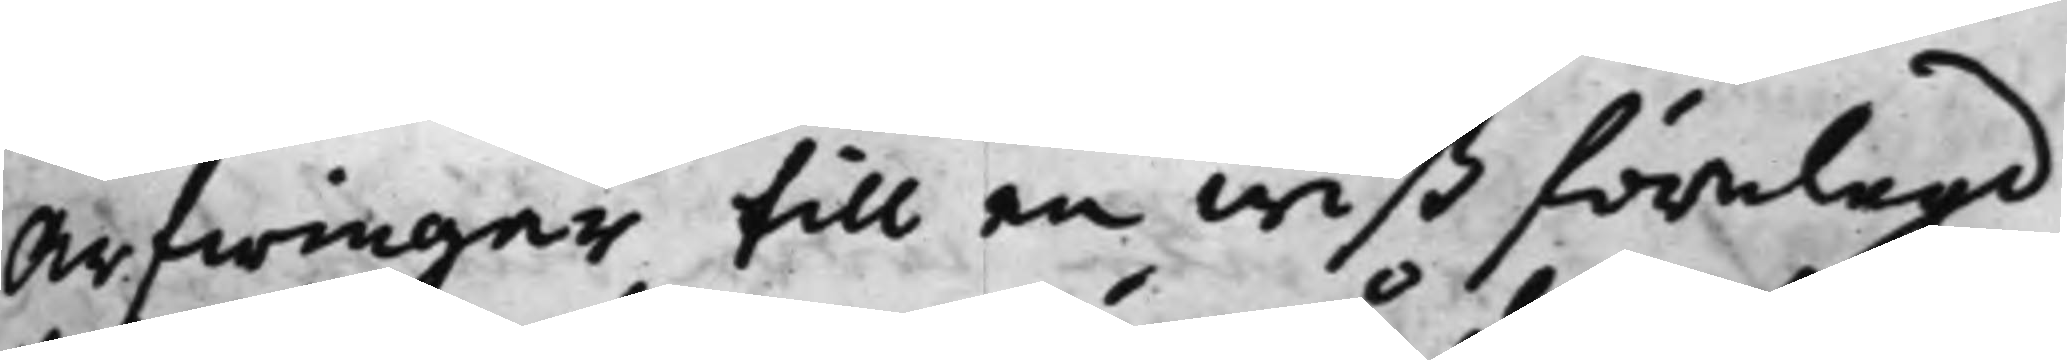Arfwingar till en wiß förelagd
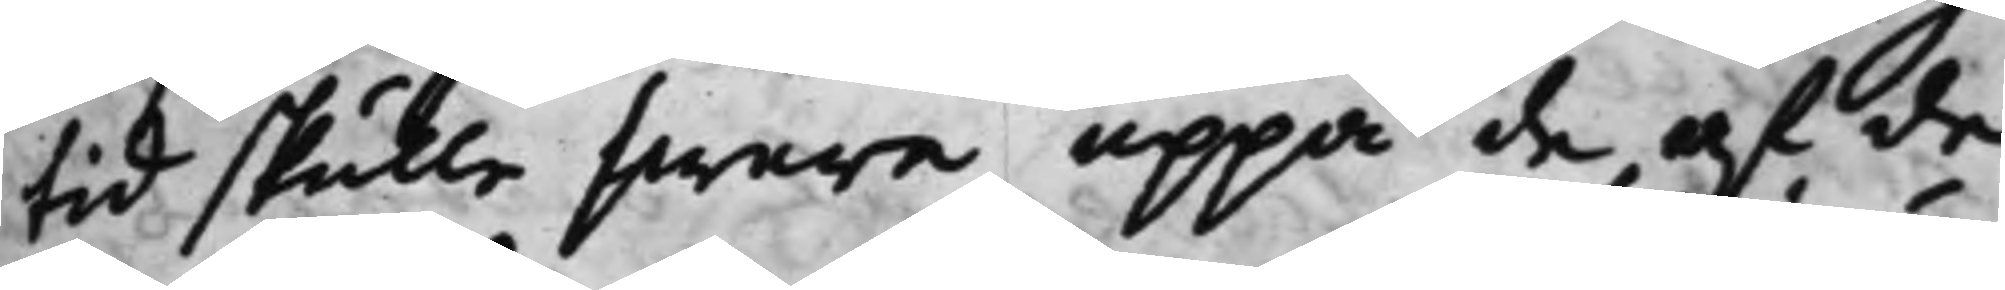tid skulle swara uppå de af de
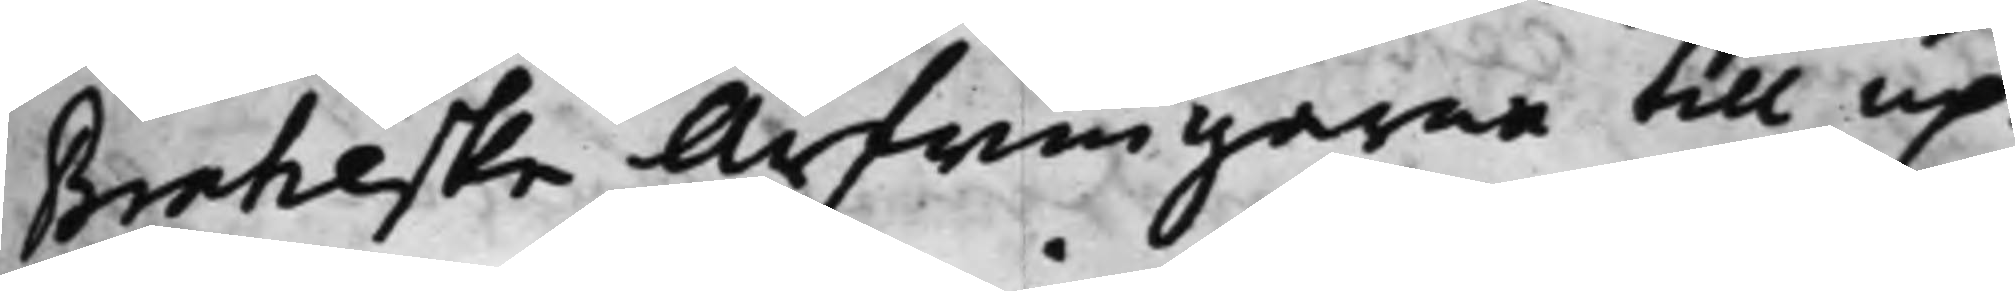Braheske Arfwingarne till up¬
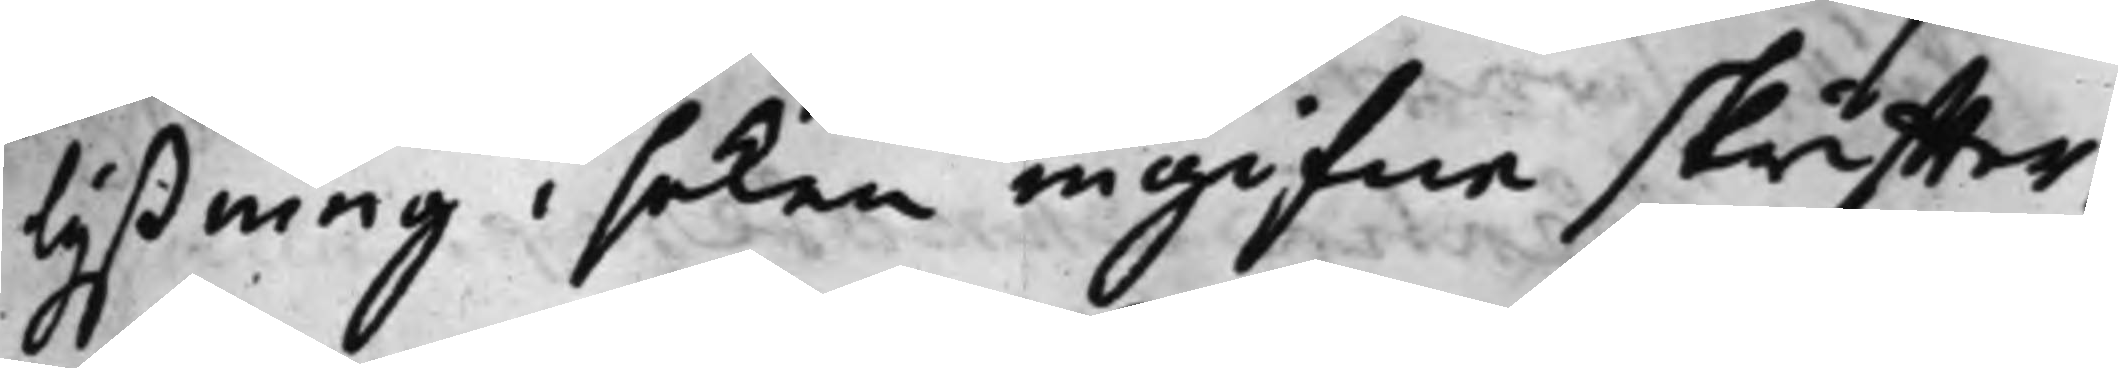lysning i saken ingifne skriffter,
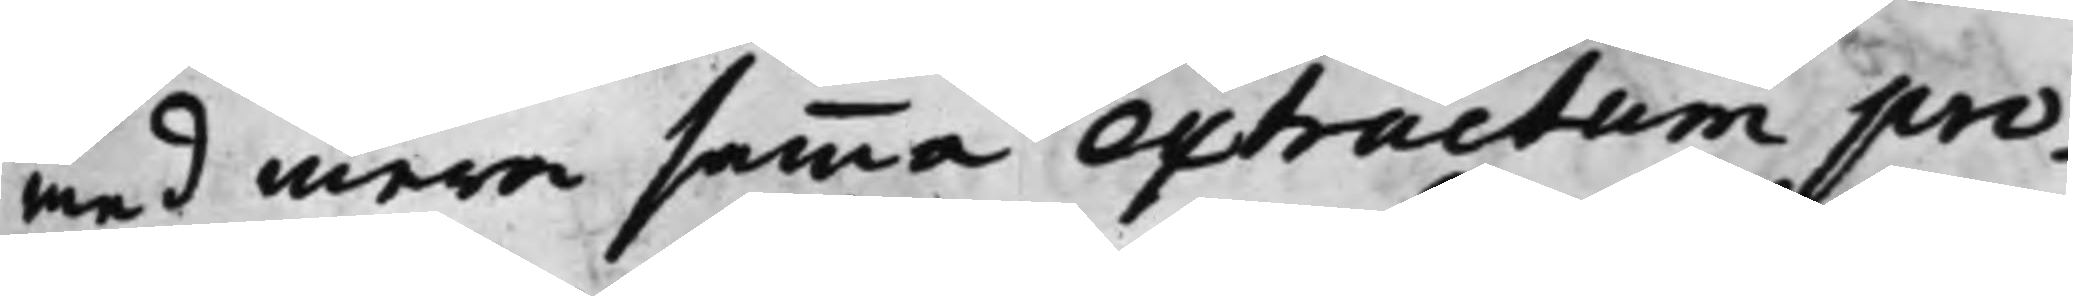med mera samma extractum pro¬
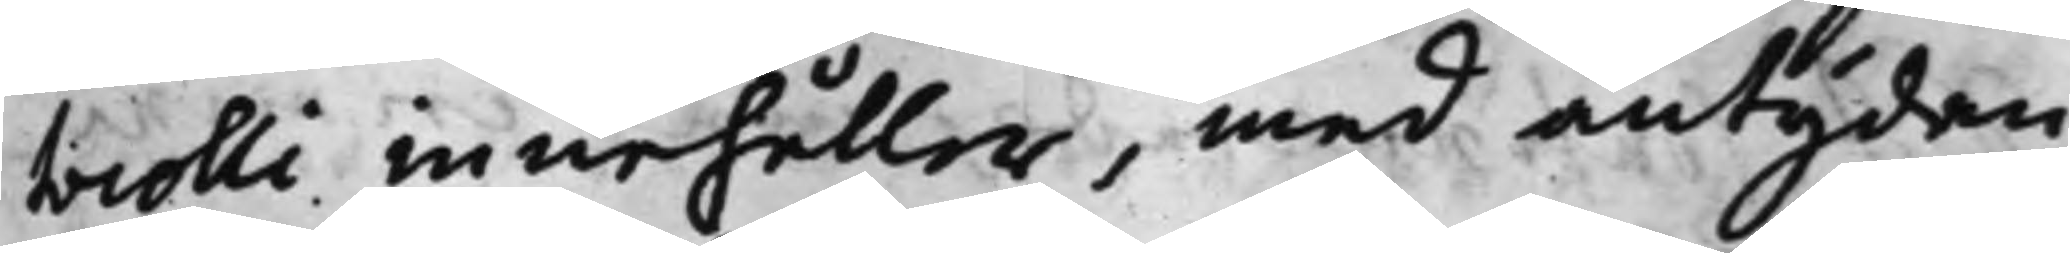tocolli innehåller, med antydan
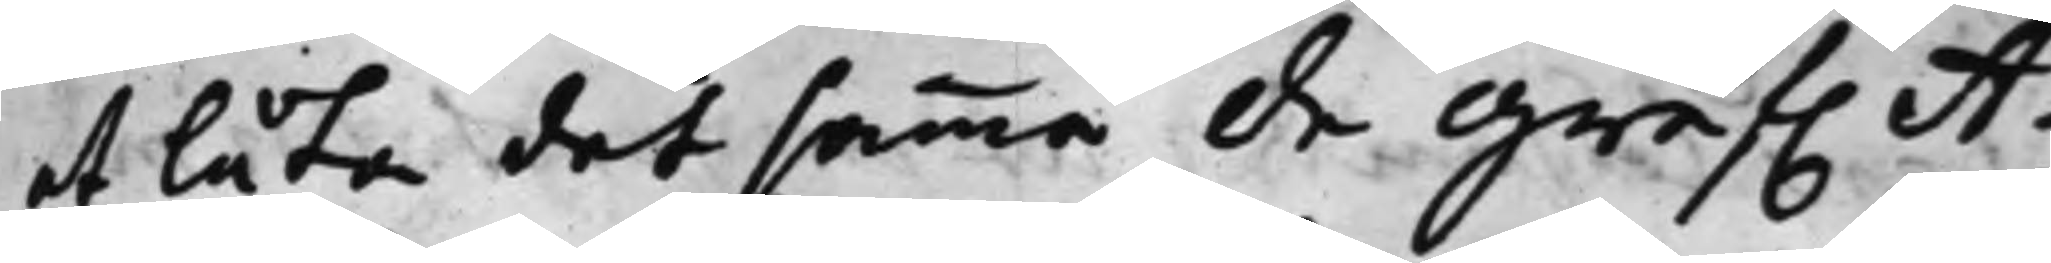at låta det samma de Gref. A¬
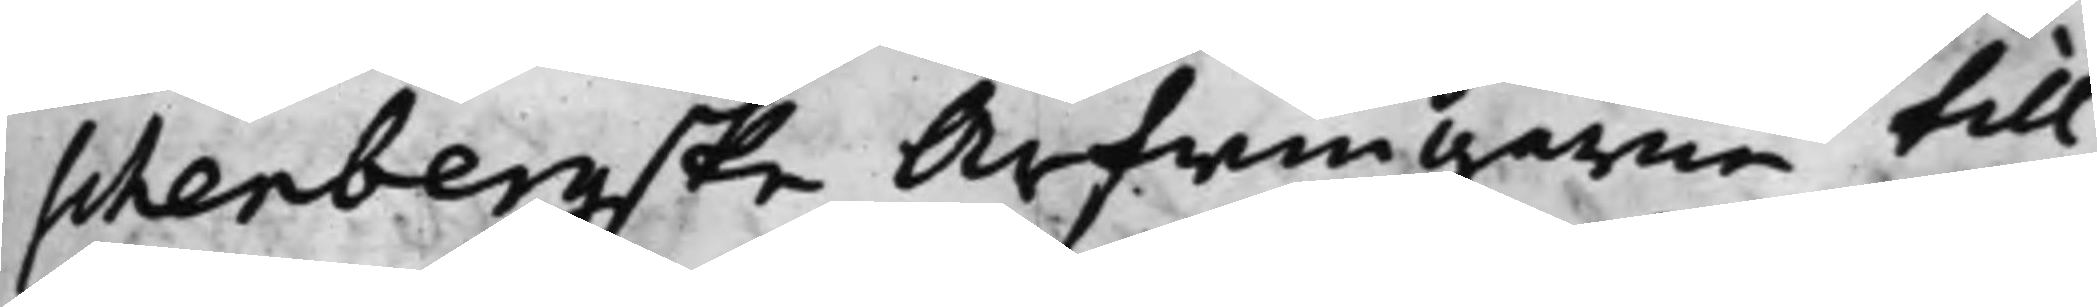schenbergske Arfwingarne till
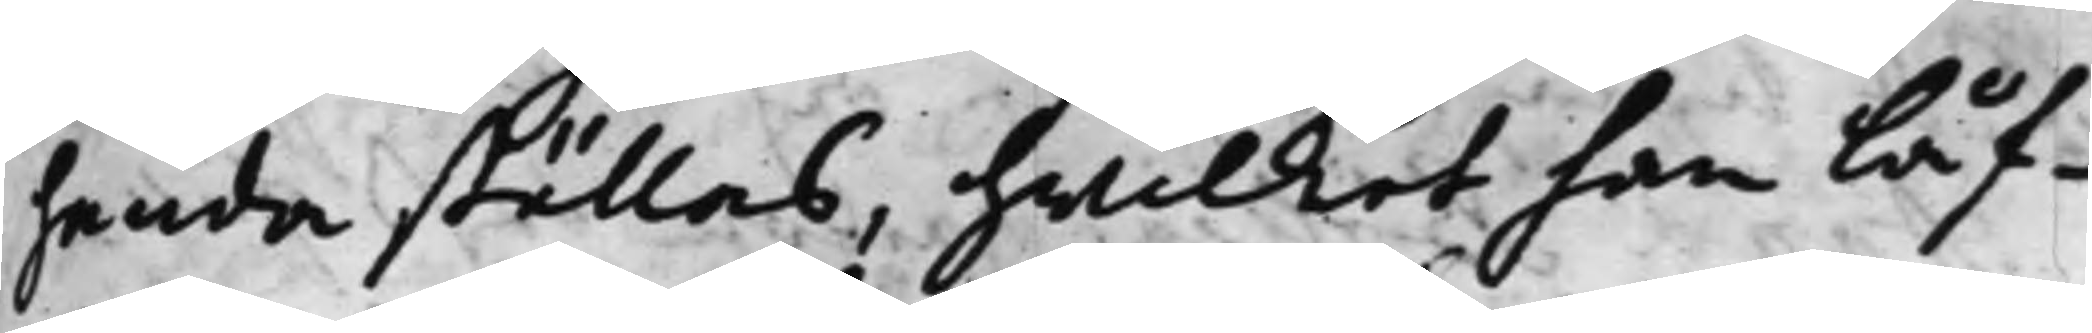handa ställas, hwilket han låf¬
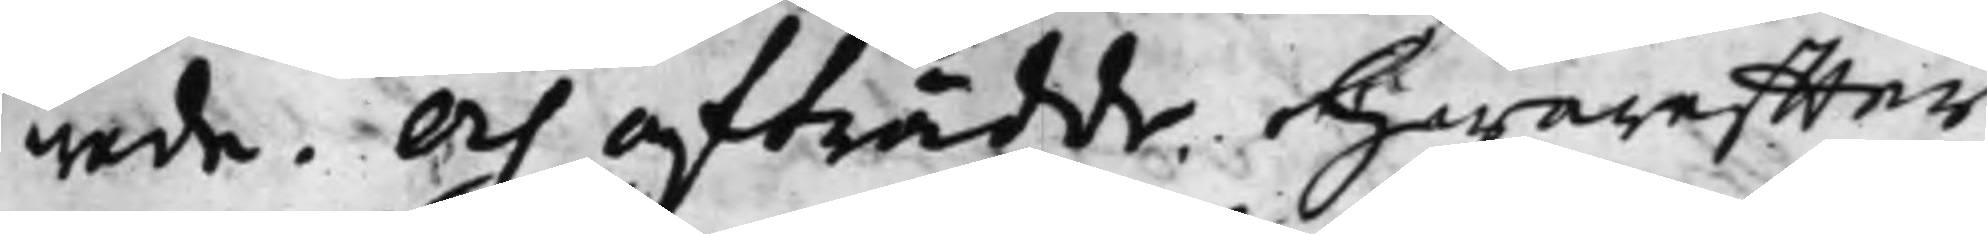wade. Och afträdde. Hwareffter
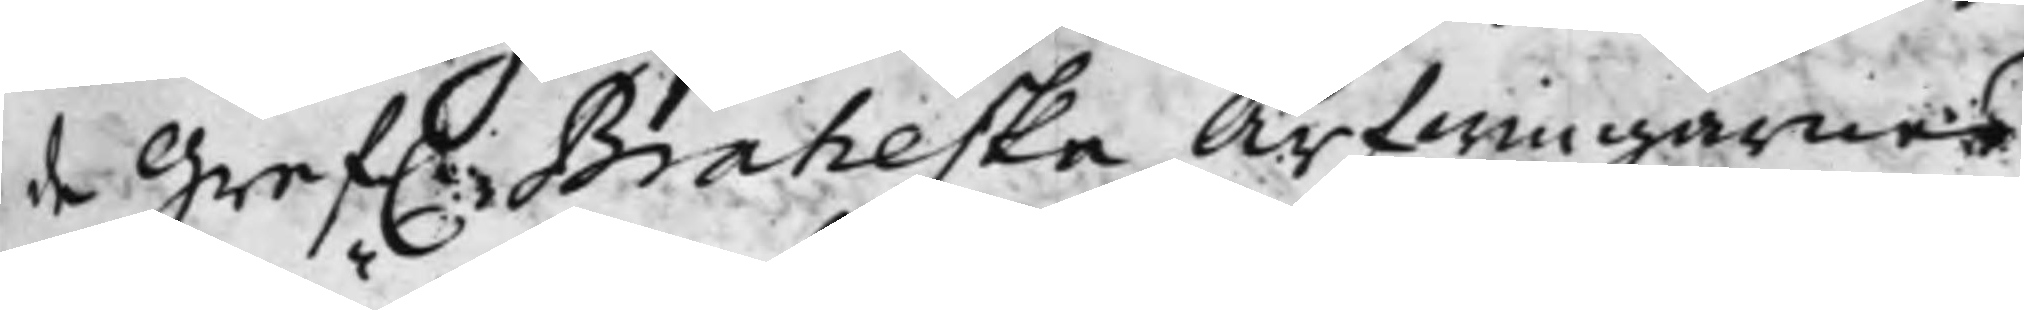de Gref. Braheska Arfwingarnes
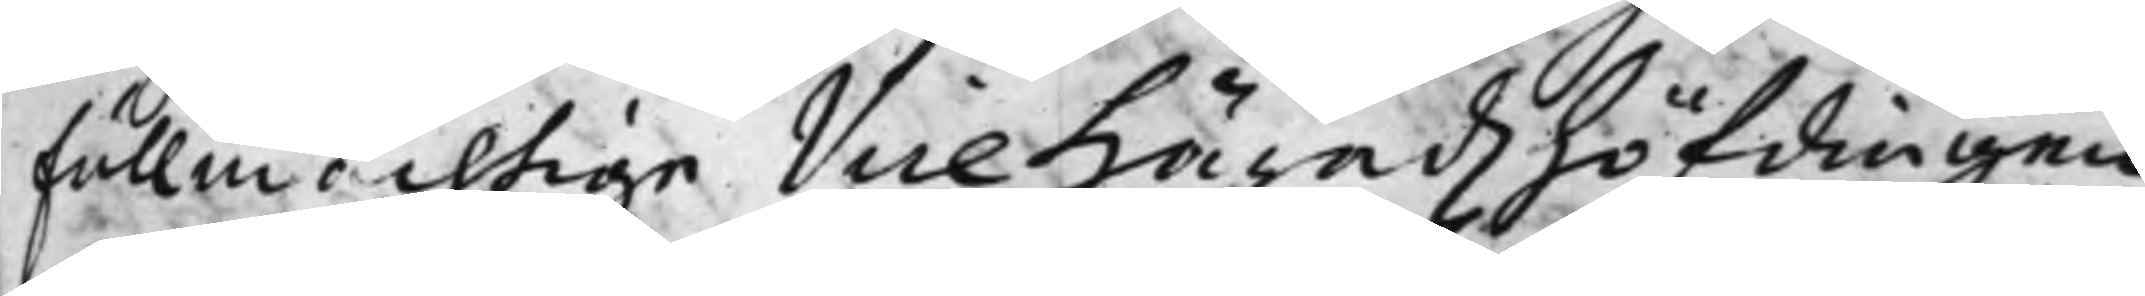fullmächtige Vice Häradzhöfdingen
